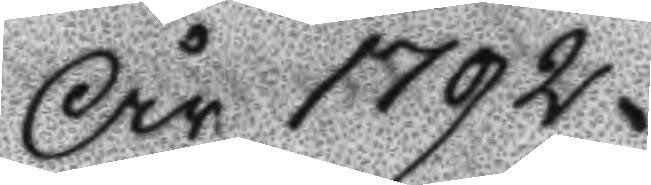År 1792
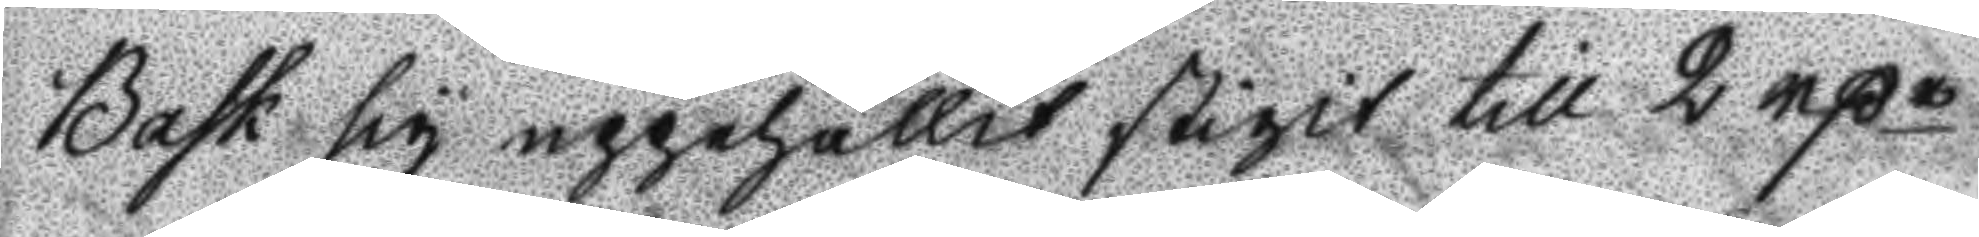Bak sig uppehållit stigit till 2 rßr.
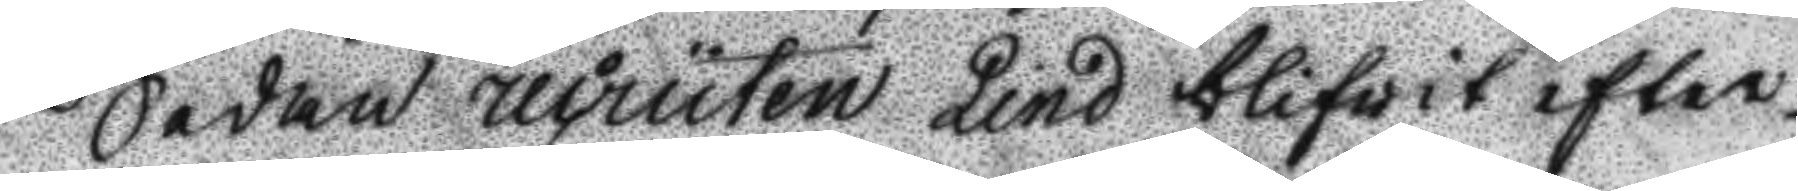Sedan recruten Lind blifwit efter¬
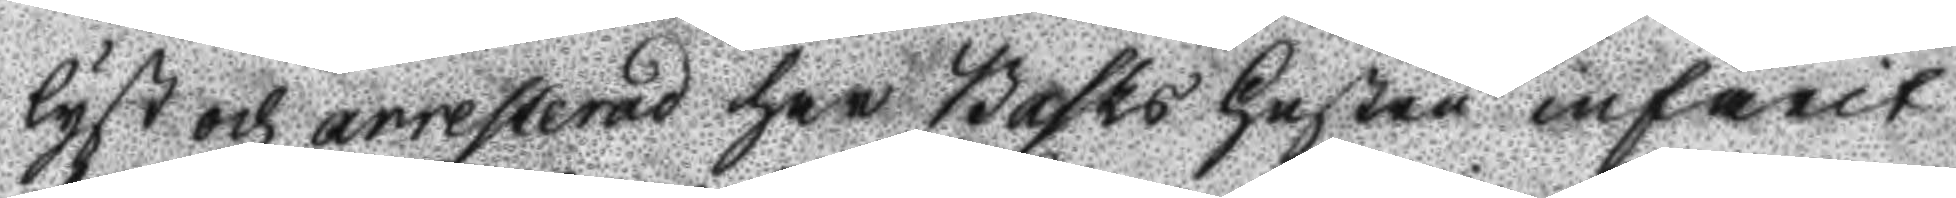lyst och arresterad har Basks hustru infarit
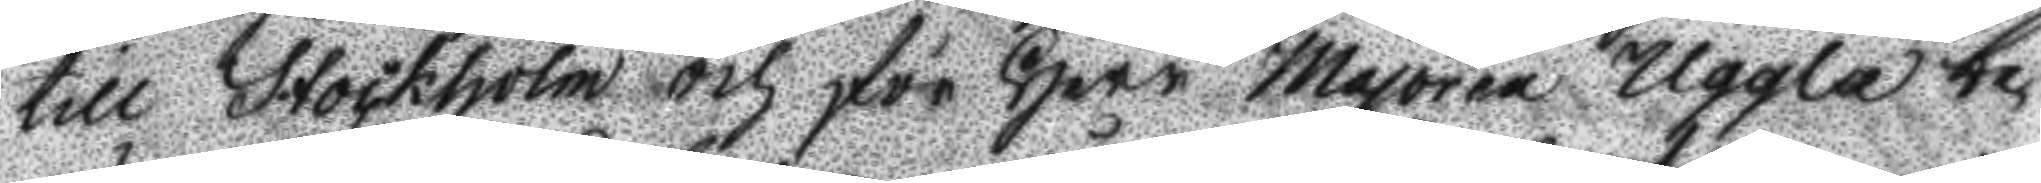till Stockholm och för Herr majoren Uggla be¬
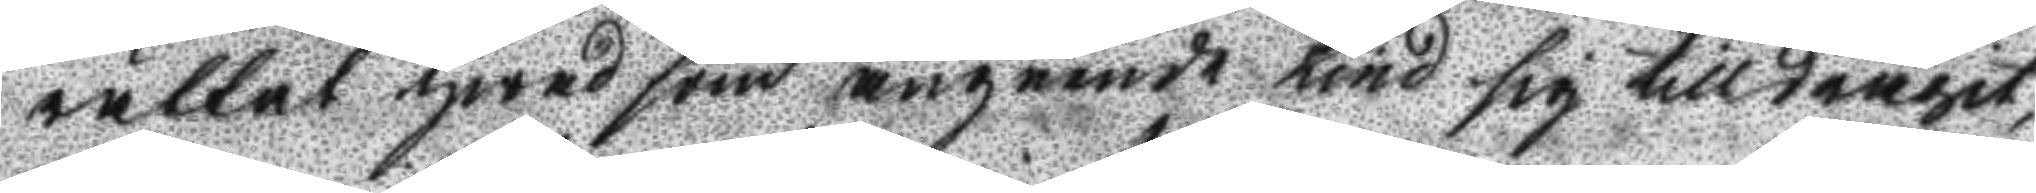rättat hwad som angående Lind sig tilldragit,
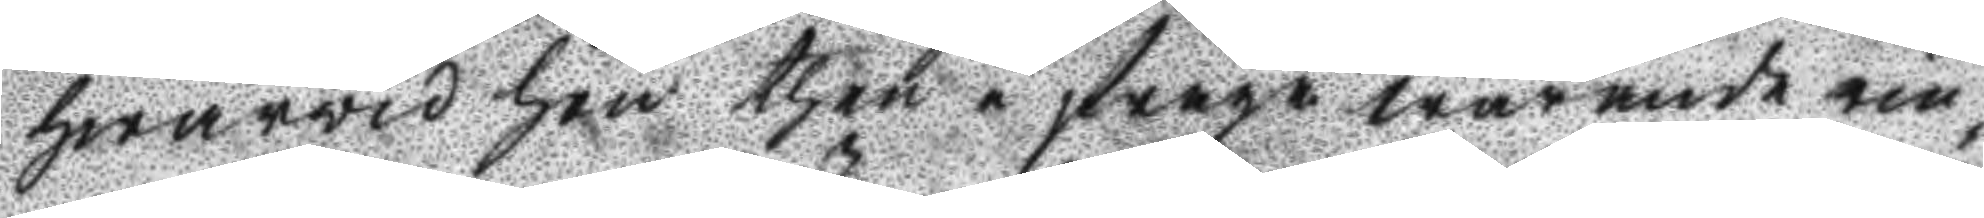hwarwid hon then i fråga warande rin¬
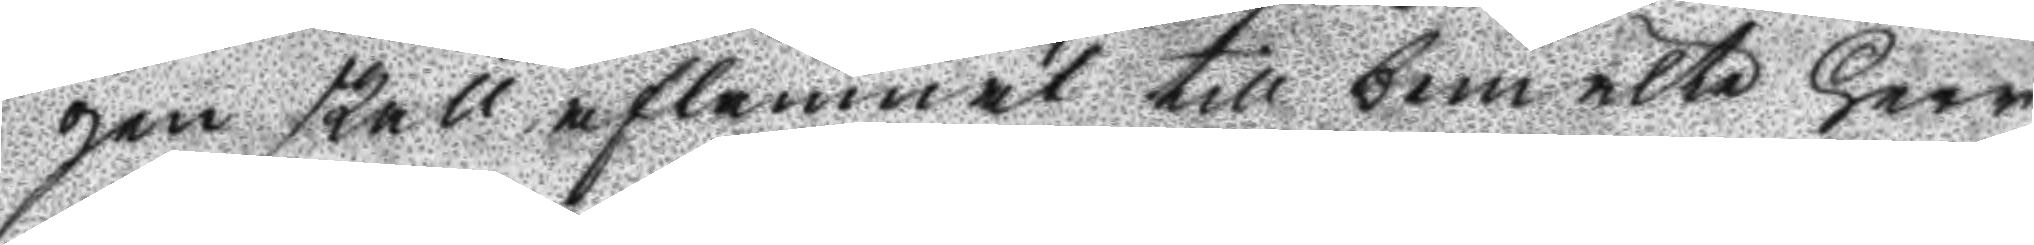gen skall aflämnat till bemelte Herr
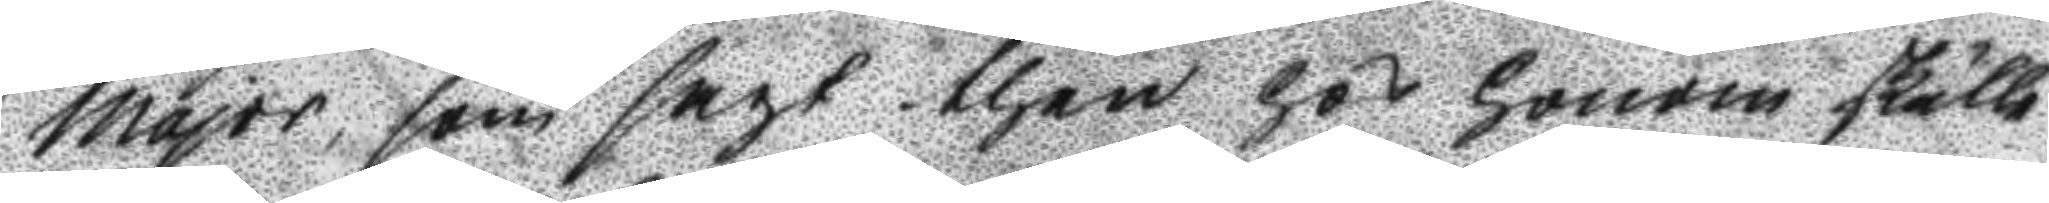major, som sagt then hos honom skulle
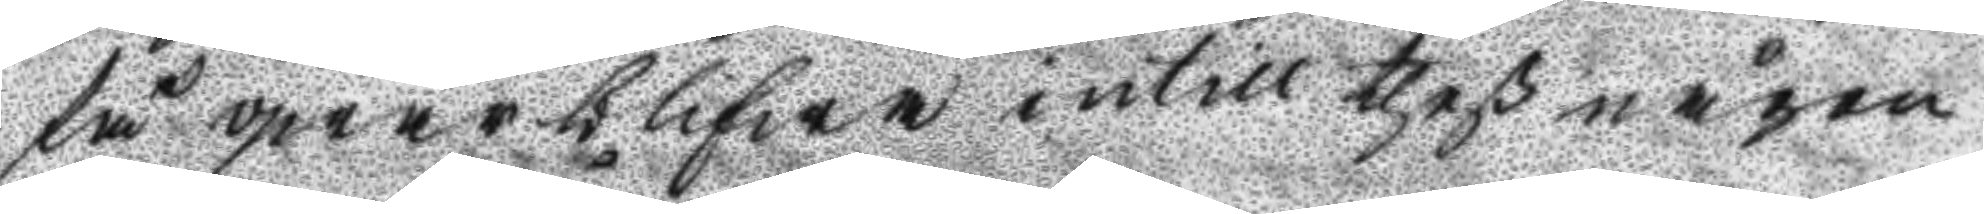få qwarblifwa intill theß någon
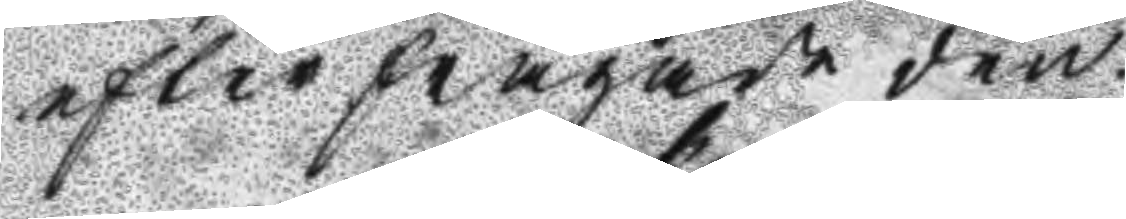efterfrågade den.
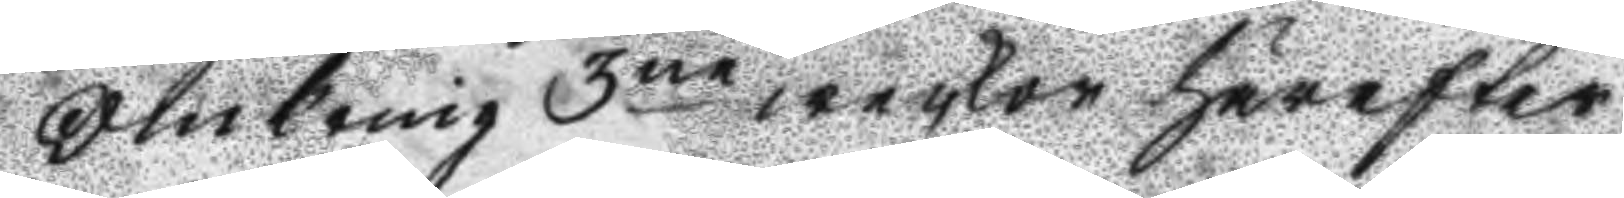Omkring 3ne weckor härefter
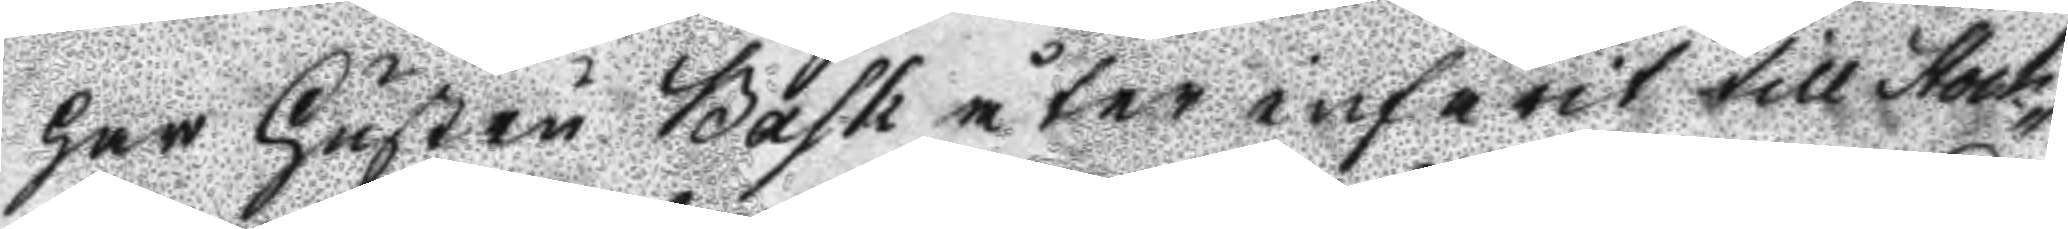har hustru Bask åter infarit till Stock¬
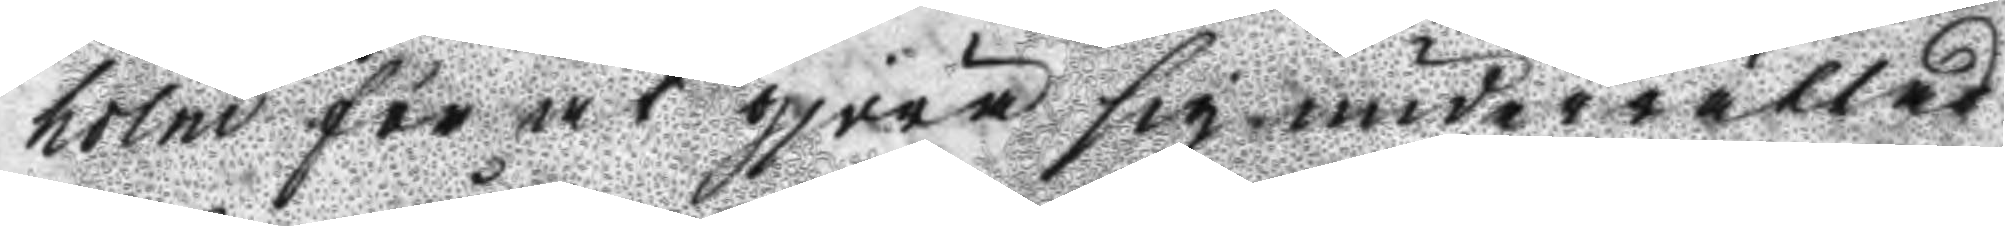holm för att gjöra sig underrättad
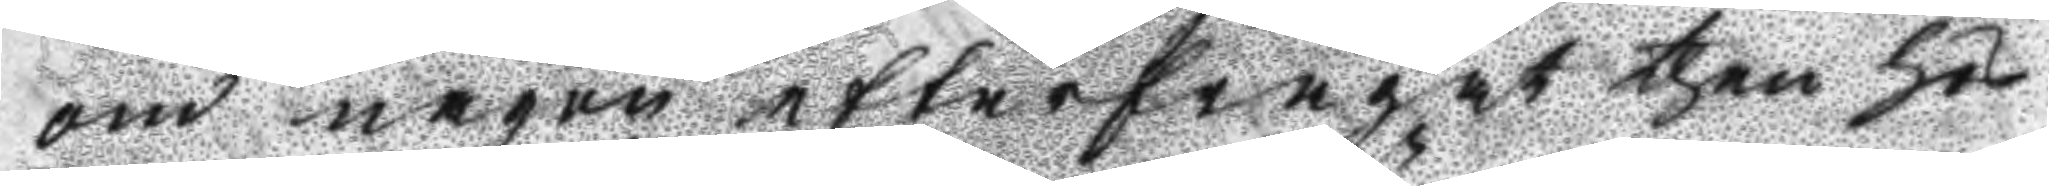om någon efterfrågat then hos
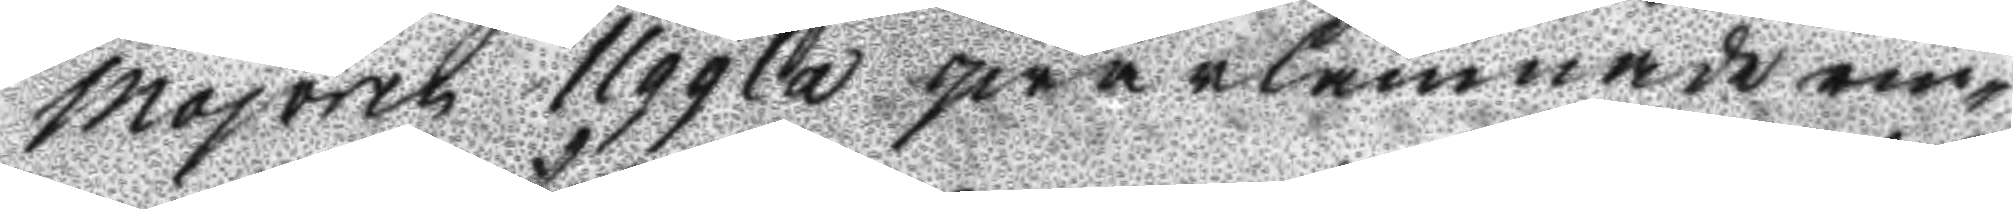Majoren Uggla qwarlämnade rin¬
